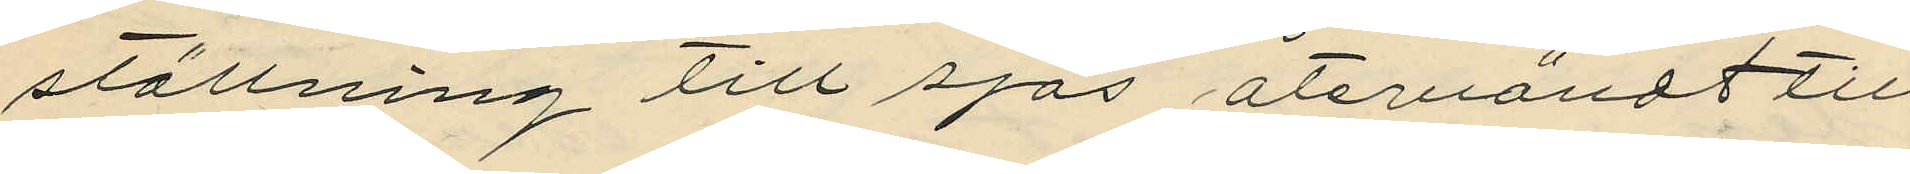ställning till sjös återvändt till
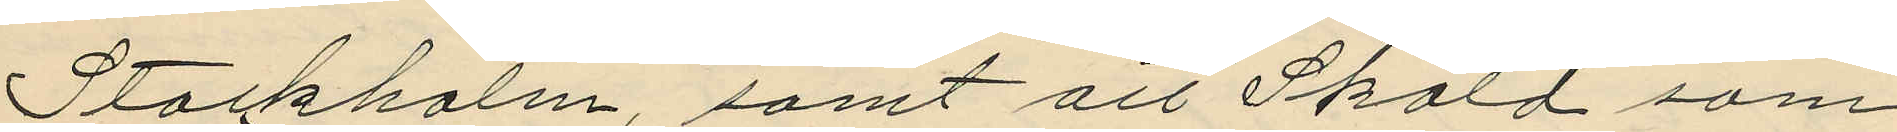Stockholm, samt att Sköld som
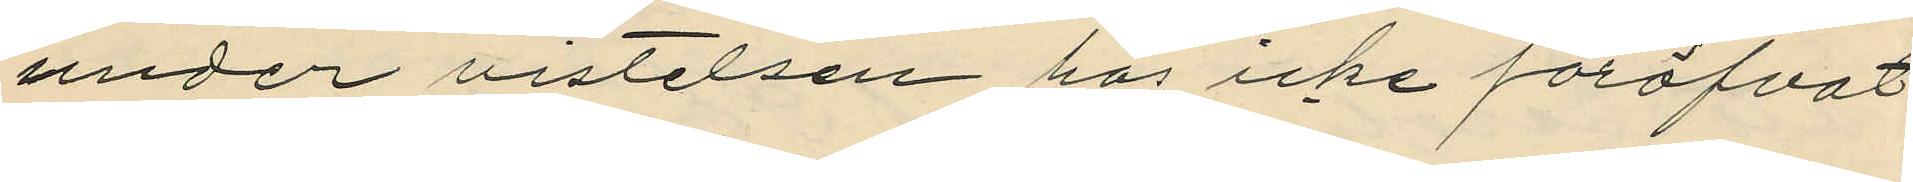under vistelsen här icke föröfvat
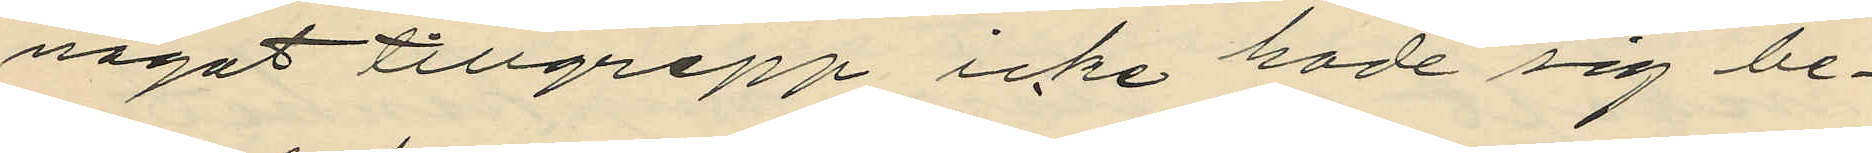något tillgrepp icke hade sig be¬
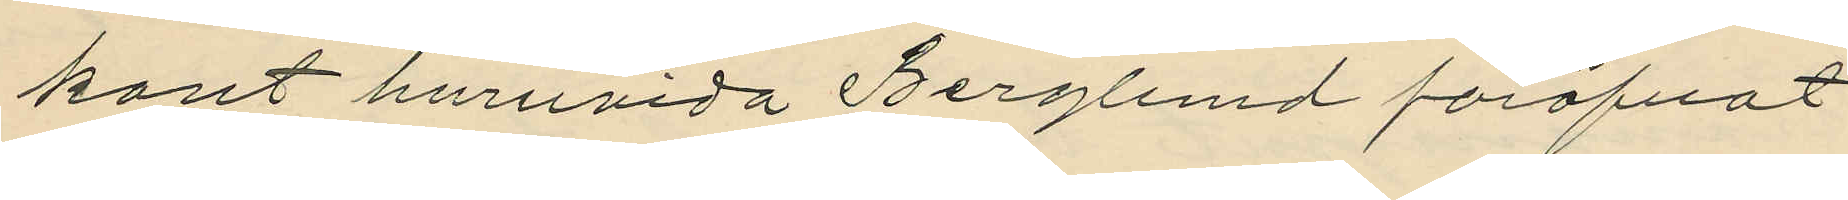kant huruvida Berglund föröfvat
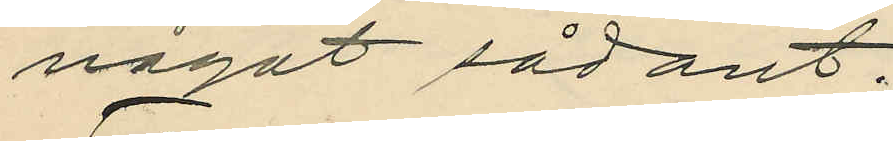något sådant.
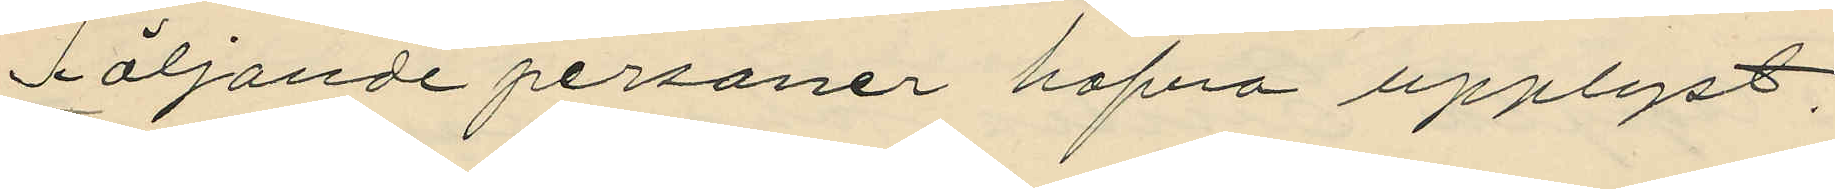Följande personer hafva upplyst,
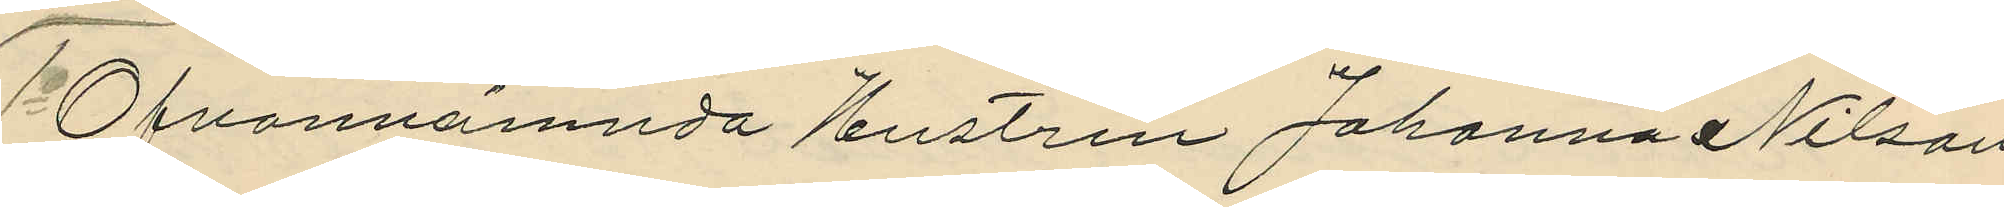1o Ofvannämnda Hustru Johanna Nilson
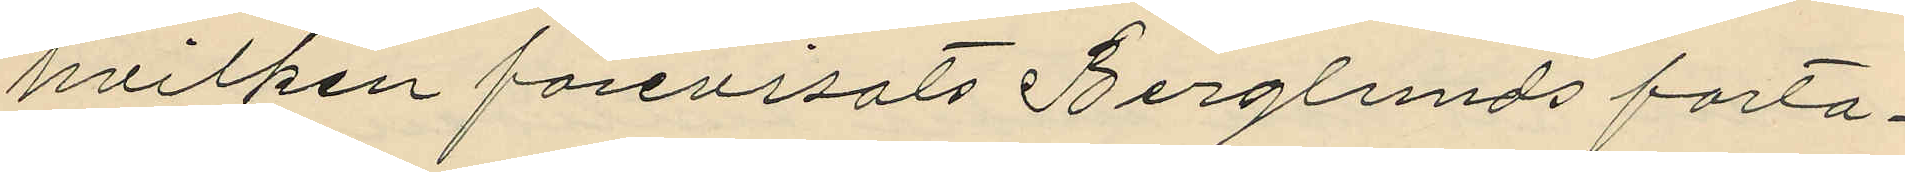hvilken förevisats Berglunds forto¬
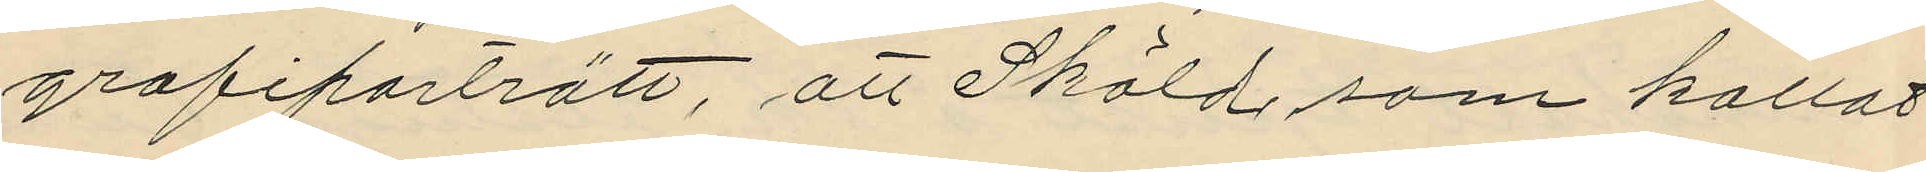grafiporträtt, att Sköld, som kallat
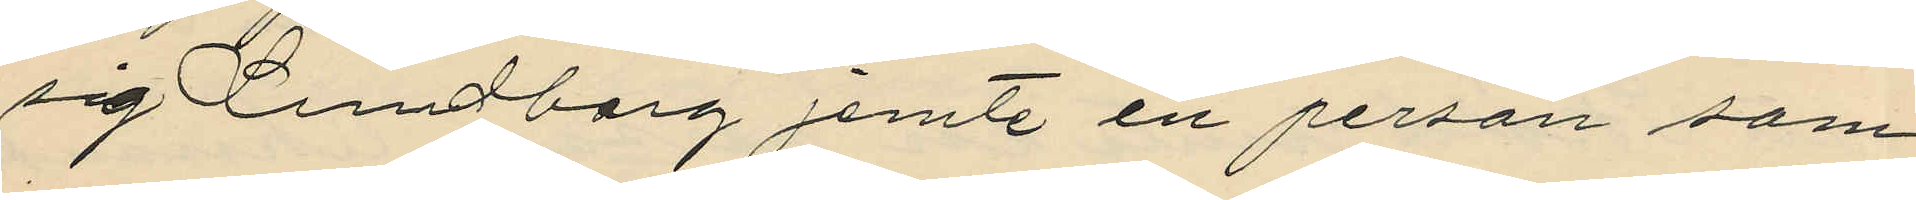sig Lundberg jemte en person som
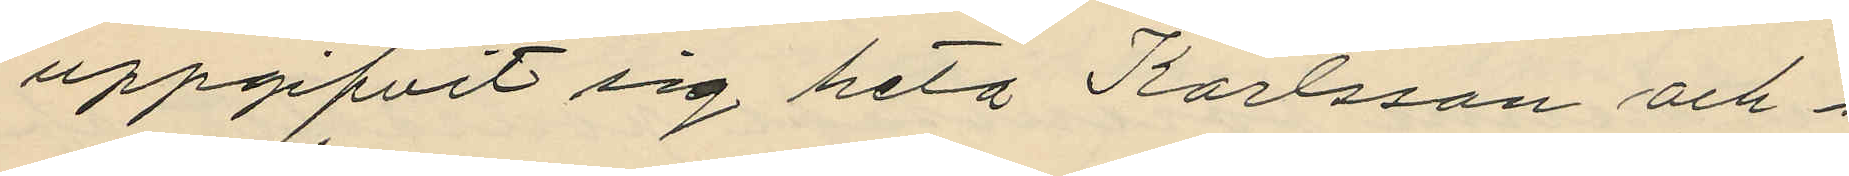uppgifvit sig heta Karlsson och i
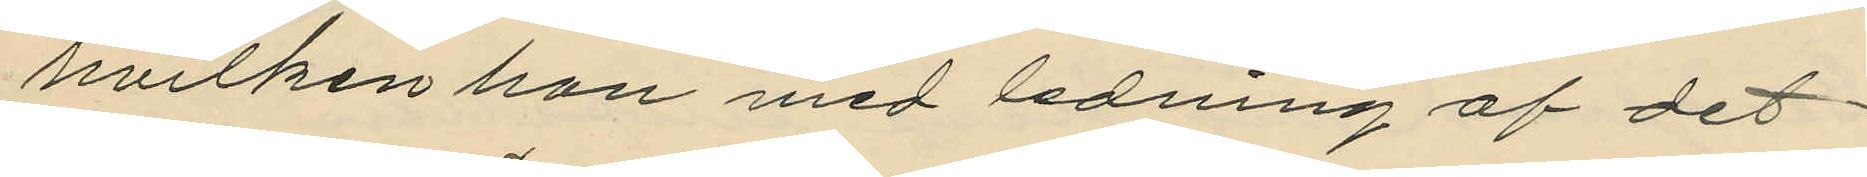hvilken hon med ledning af det
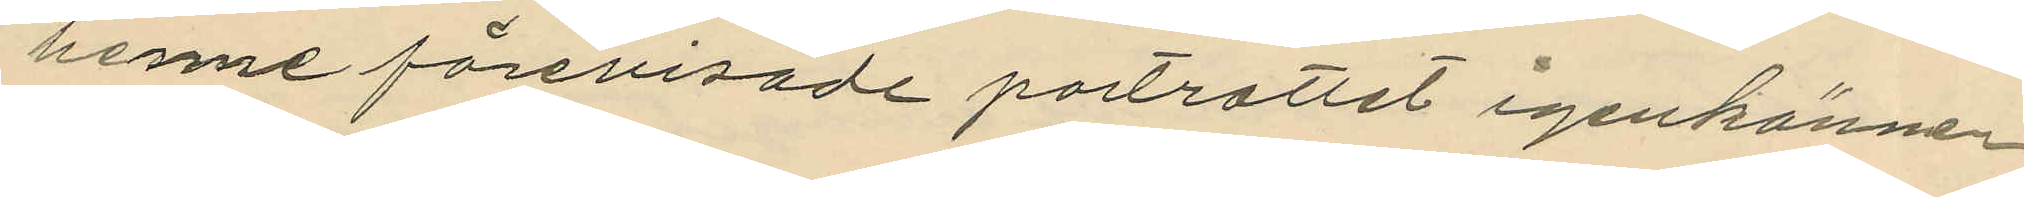henne förevisade portrattet igenkänner
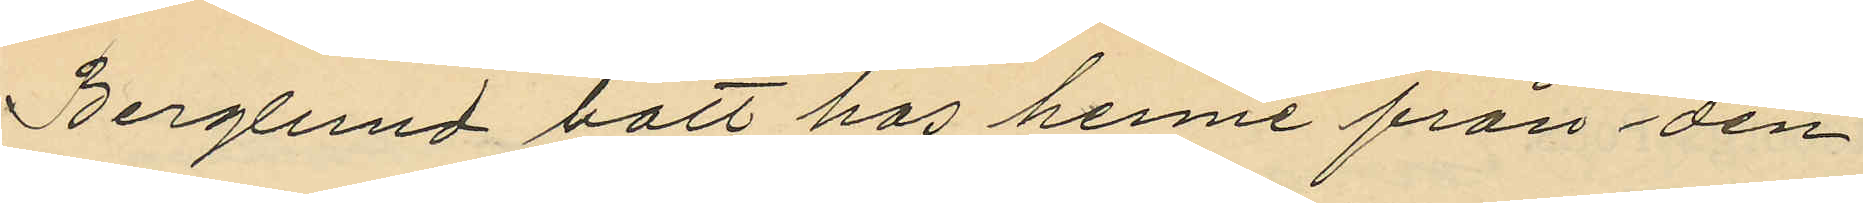Berglund bott hos henne från den
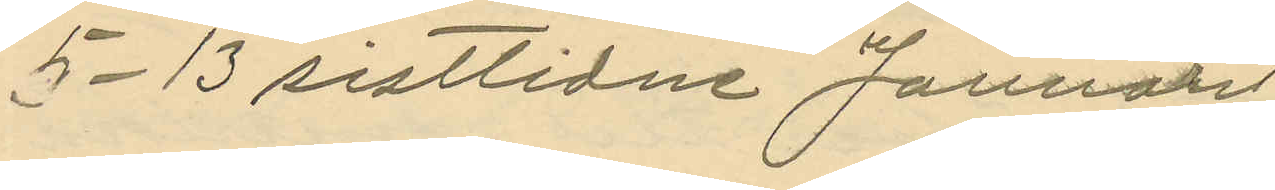5-13 sistlidne Januari;
